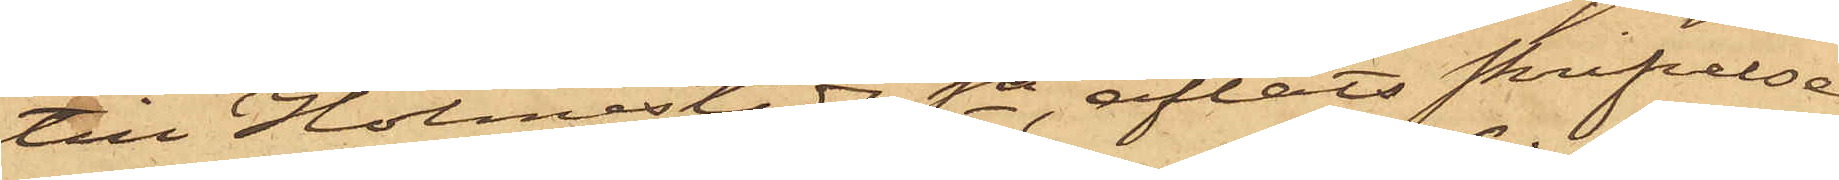till Holmestads Sn, afläts skrifvelse
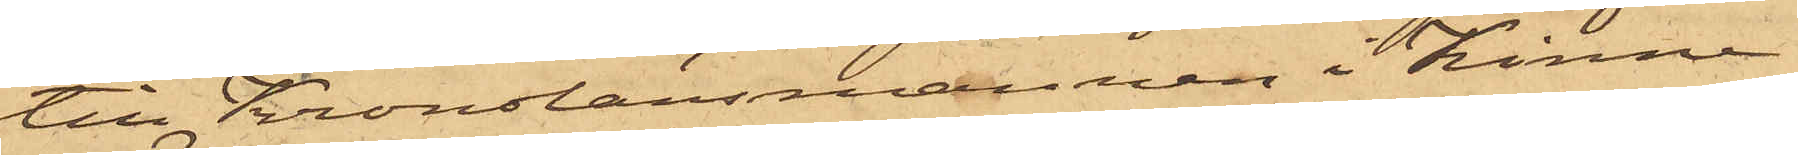till Kronolänsmannen i Kinna
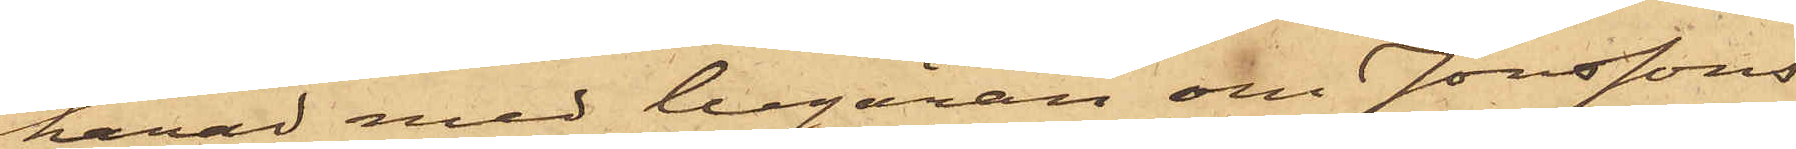härad med begäran om Jonssons
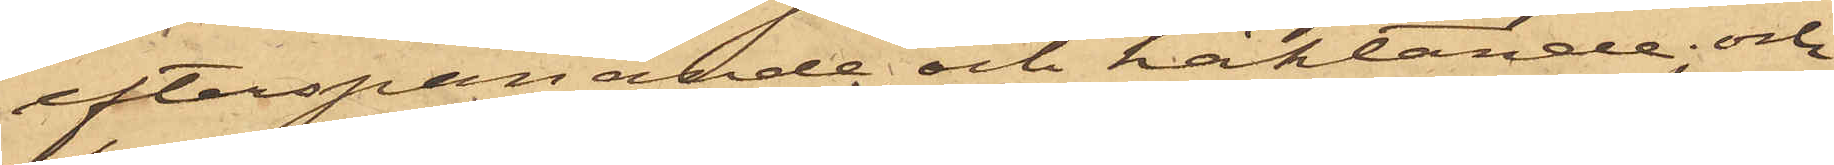efterspanande och häktande; och
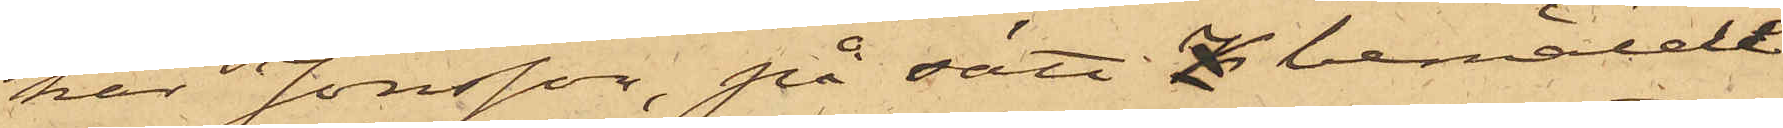har Jonsson, på sätt bemälde
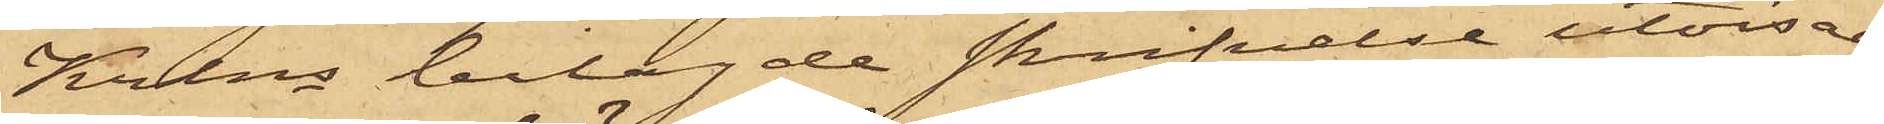Krlns bilagde skrifvelse utvisar,
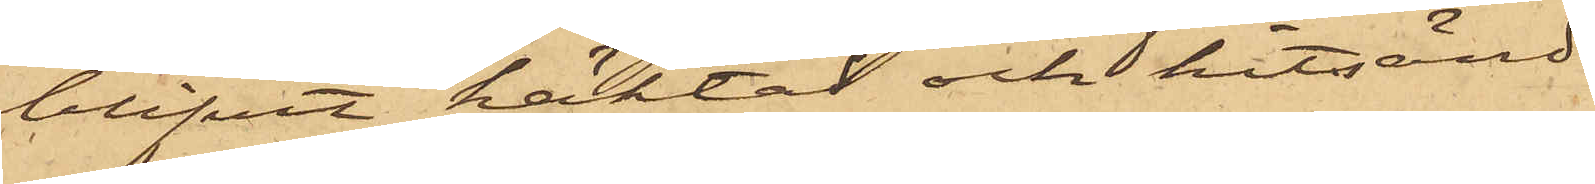blifvit häktad och hitsänd.
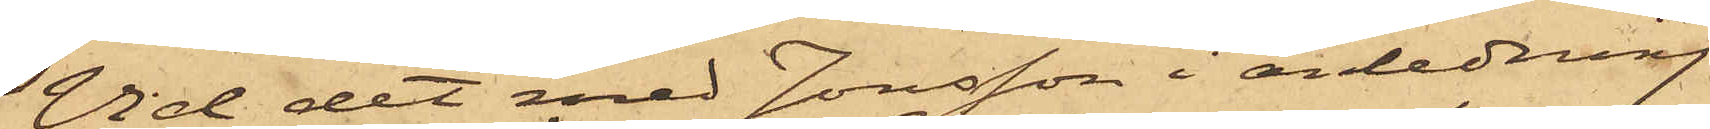Vid det med Jonsson i anledning
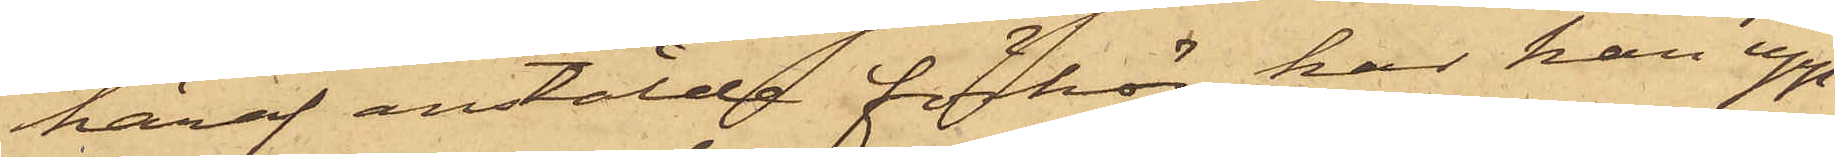häraf anstälda förhör har han upp¬
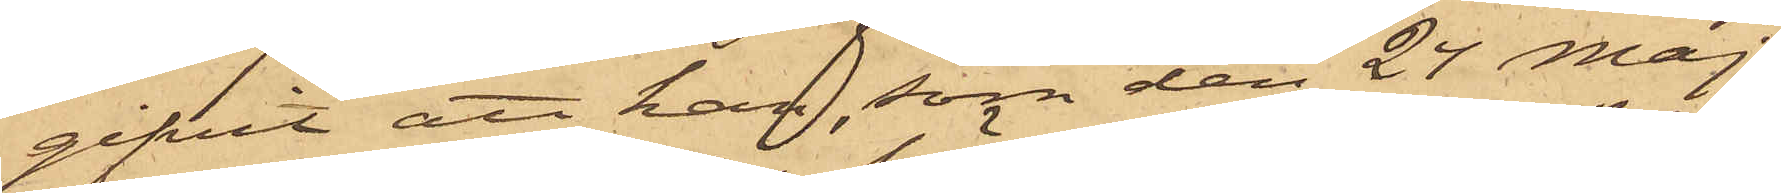gifvit att han, som den 24 Maj
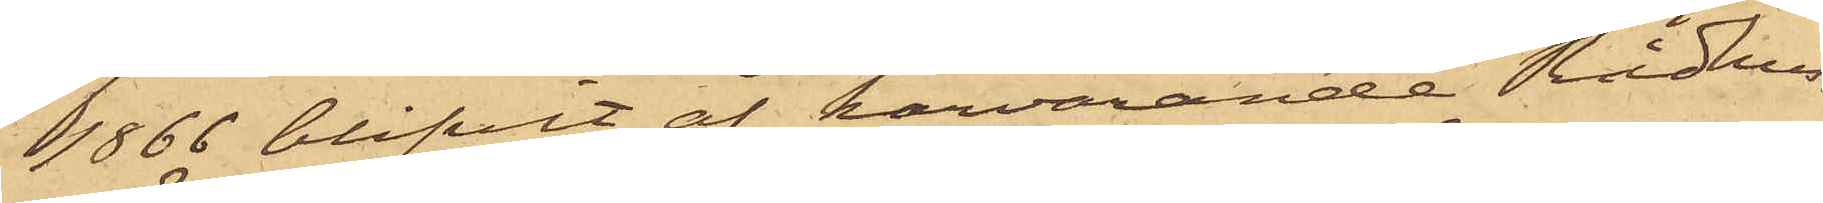1866 blifvit af härvarande Rådhus¬
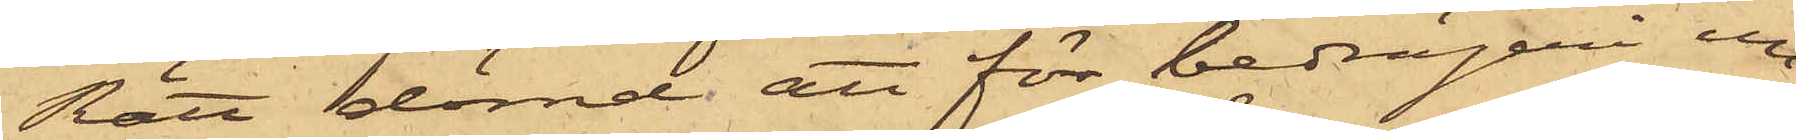Rätt dömd att för bedrägeri un¬
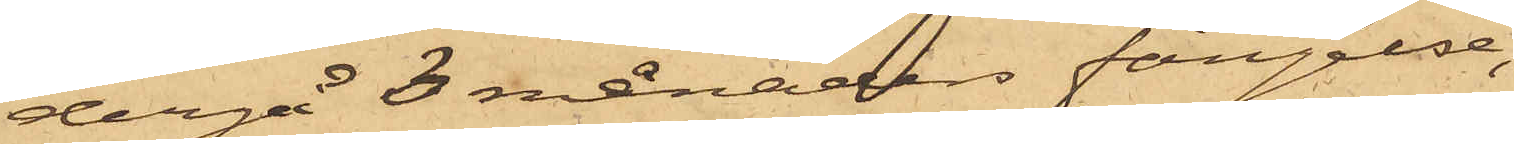dergå 3 månaders fängelse,
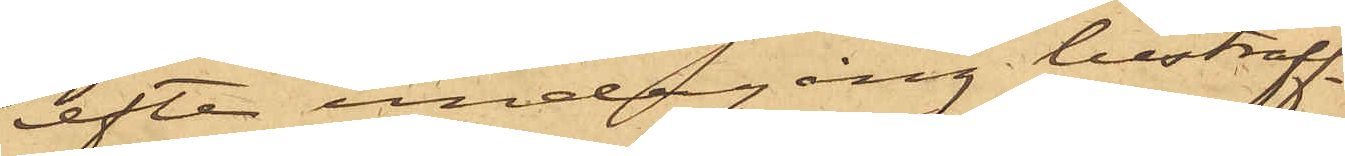efter undergång bestraff¬
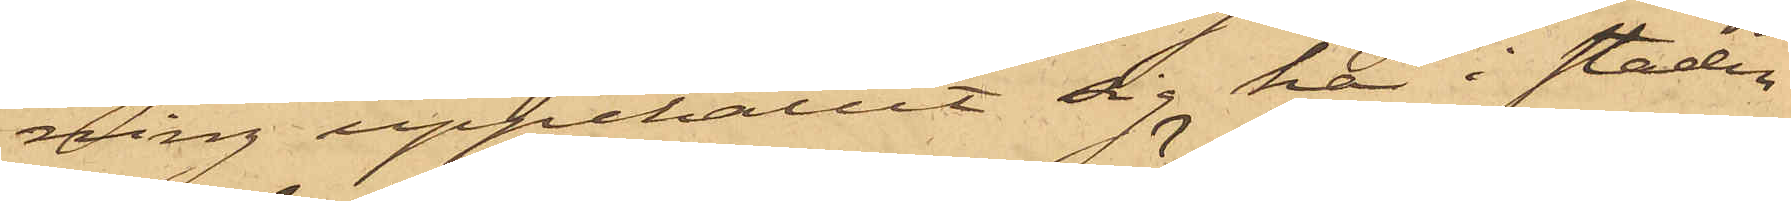ning uppehållit sig här i staden
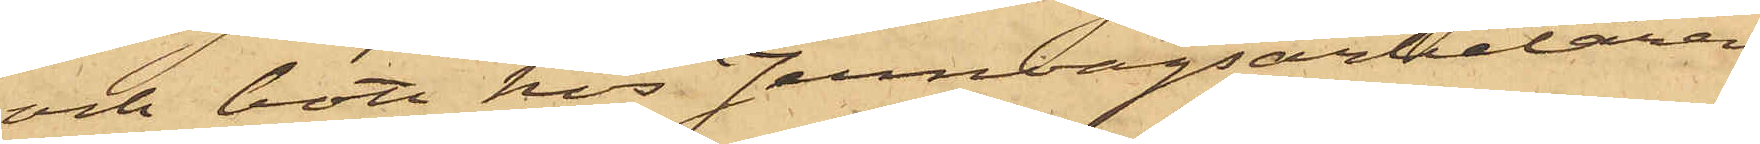och bott hos Jernvägsarbetaren
